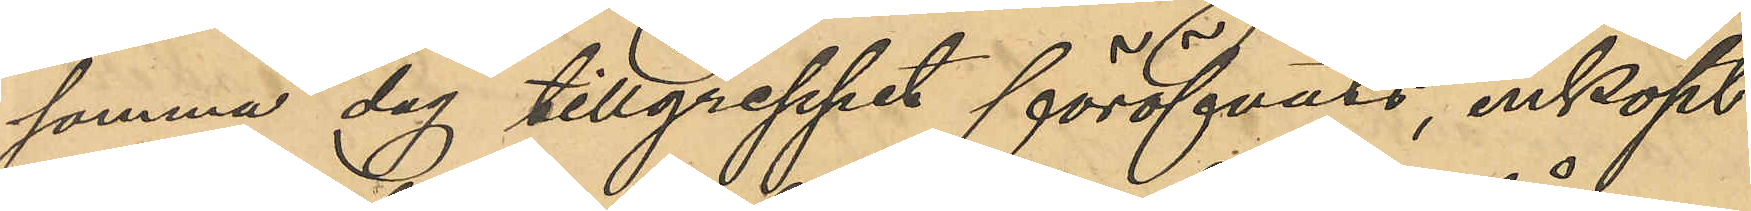samma dag tillgreppet föröfvats, inköpt
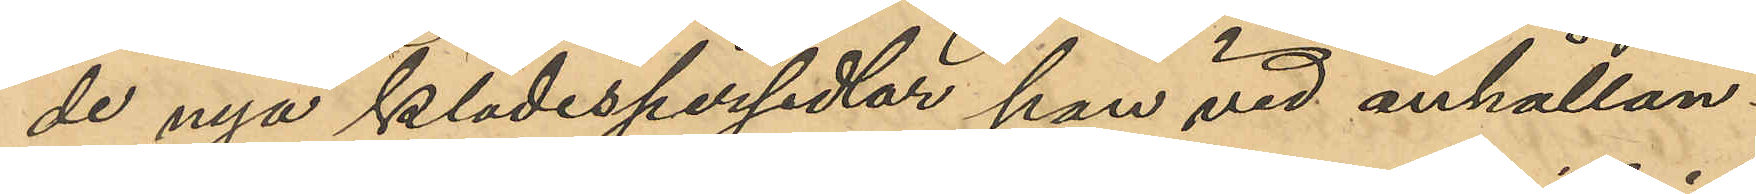de nya klädespersedlar han vid anhållan¬
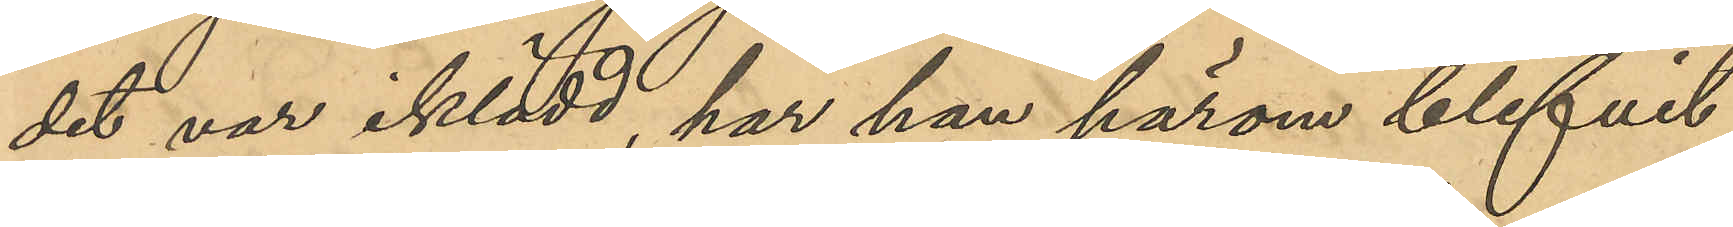det var iklädd, har han härom blifvit
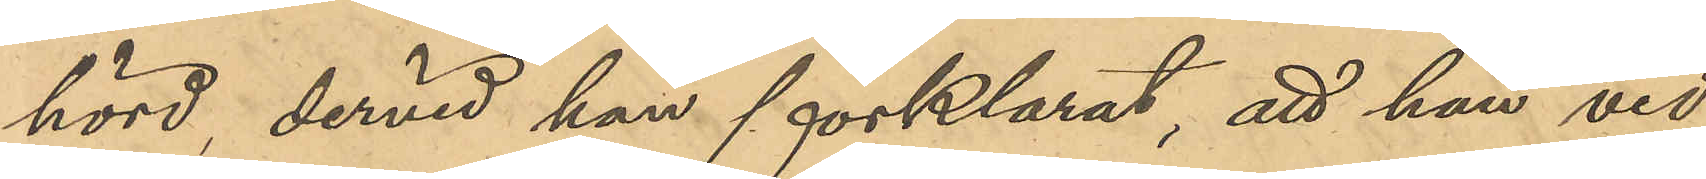hörd, dervid han förklarat, att han vid
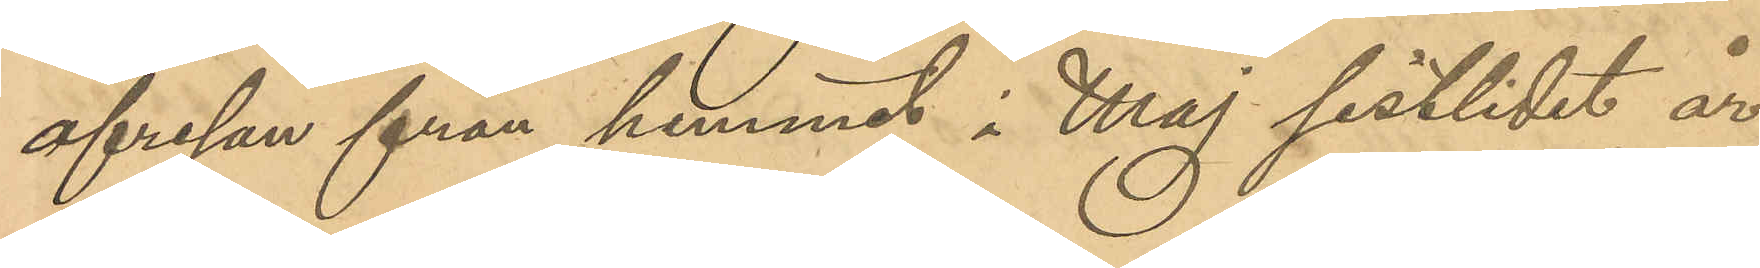afresan från hemmet i Maj sistlidet år
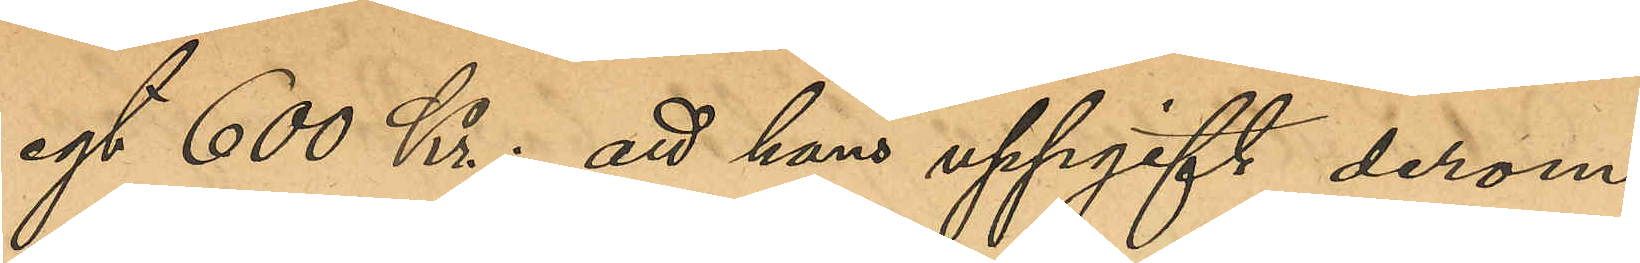egt 600 Kr; att hans uppgift derom
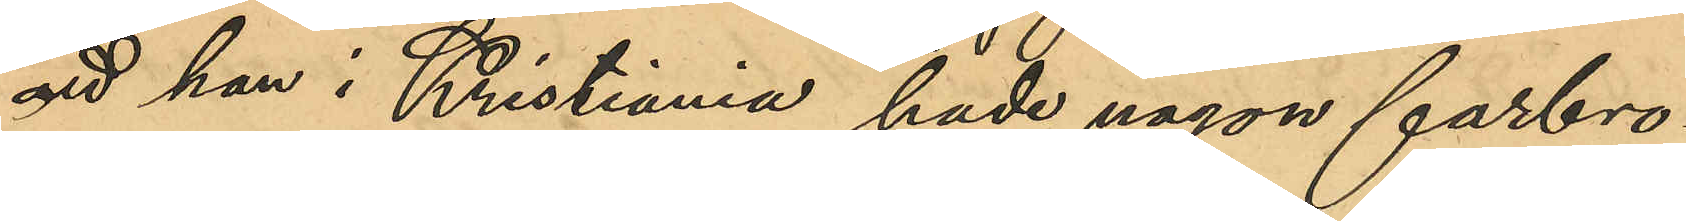att han i Kristiania hade någon farbro¬
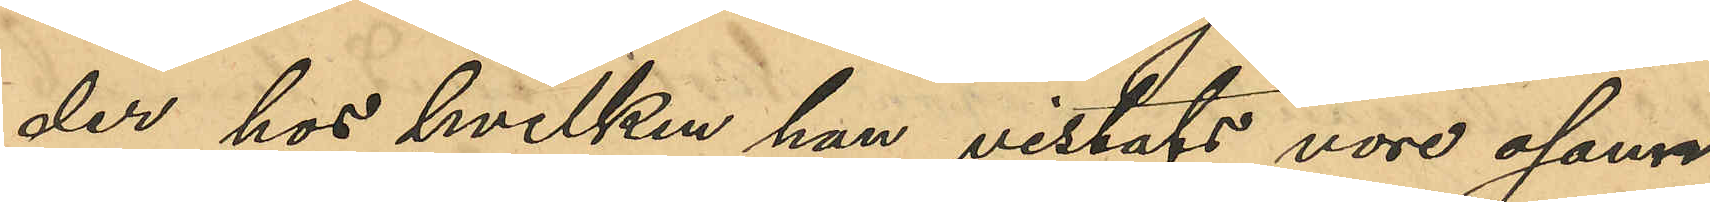der hos hvilken han vistats vore osant;
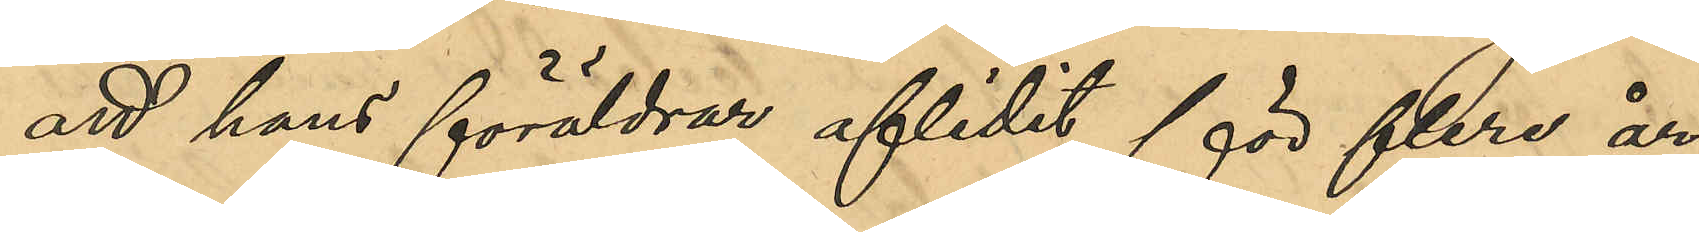att hans föräldrar aflidit för flere år
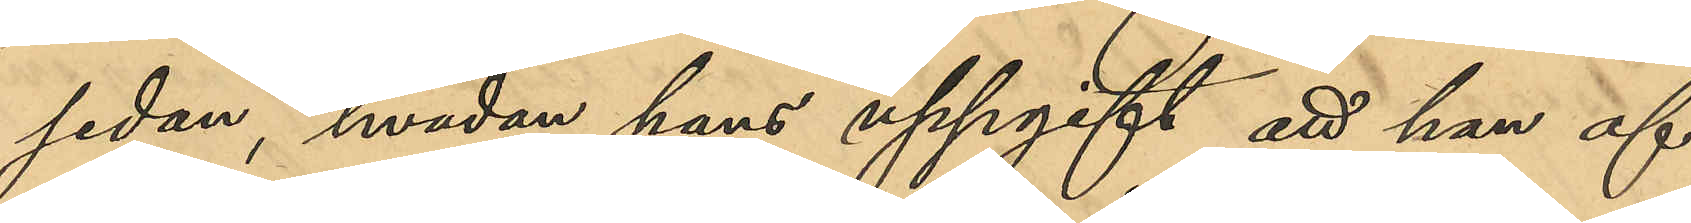sedan, hvadan hans uppgift att han af
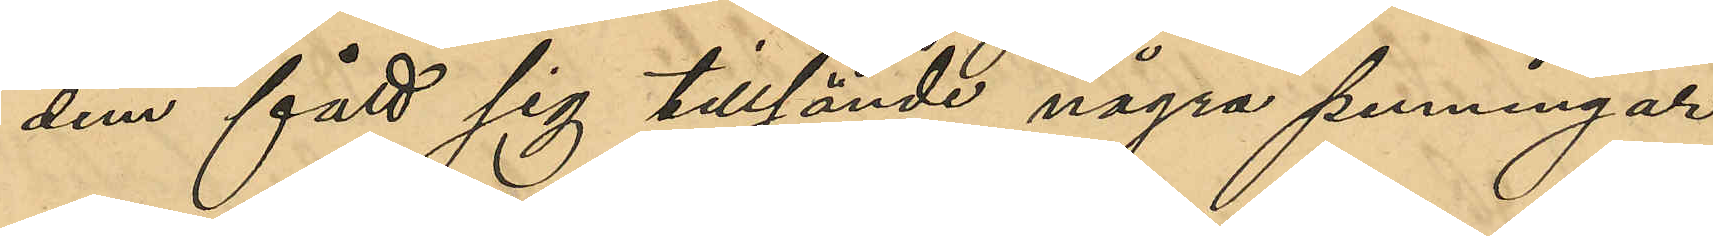dem fått sig tillsände några penningar
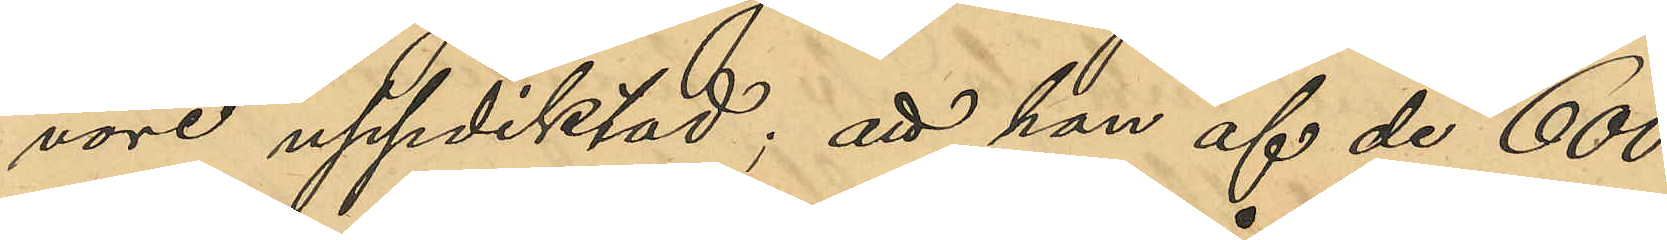vore uppdiktad; att han af de 600
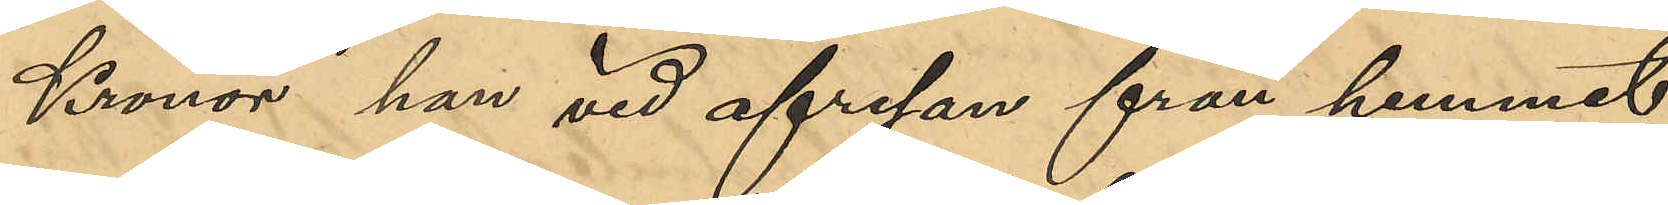Kronor han vid afresan från hemmet
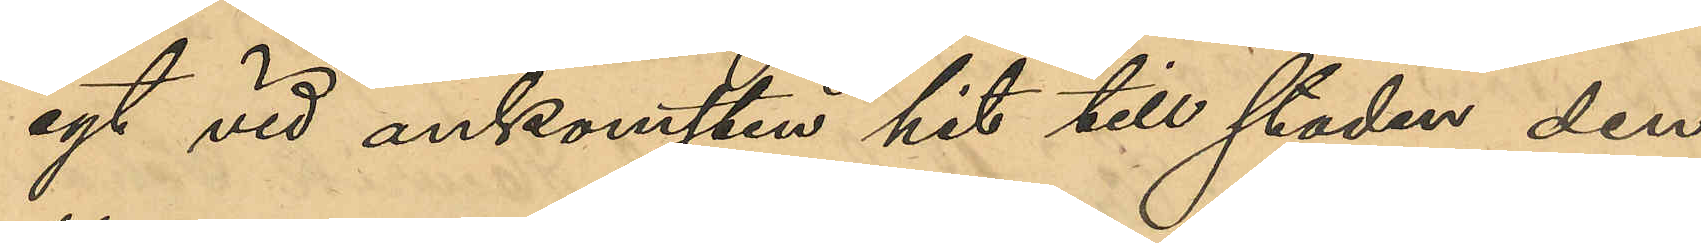egt vid ankomsten hit till staden den
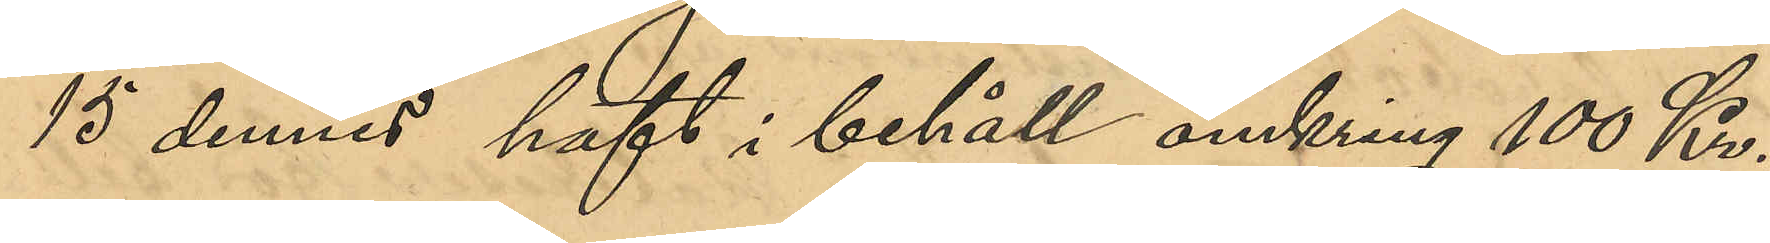15 dennes haft i behåll omkring 100 Kr.;
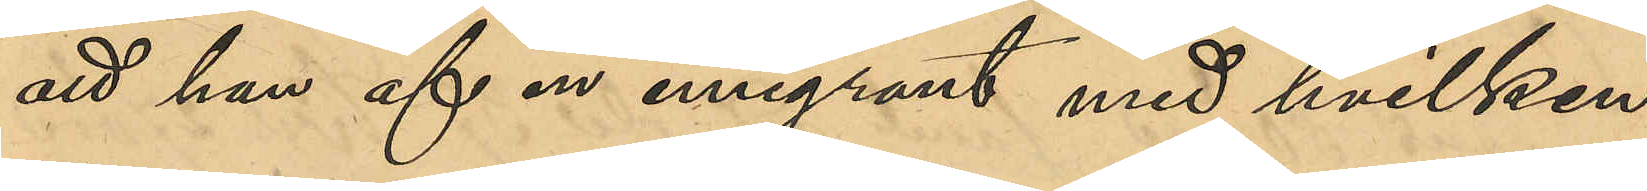att han af en emigrant med hvilken
